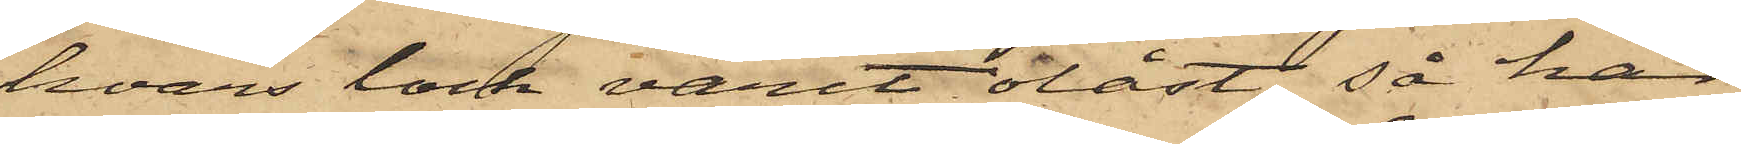hvars lock varit olåst, så har
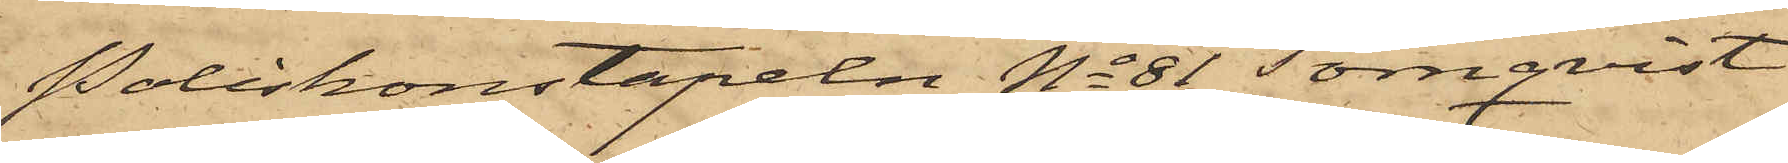Poliskonstapeln No 81 Törnqvist
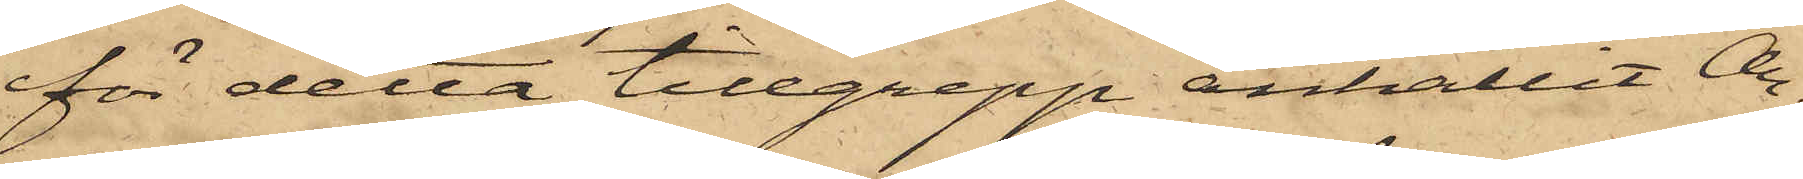för detta tillgrepp anhållit Ar¬
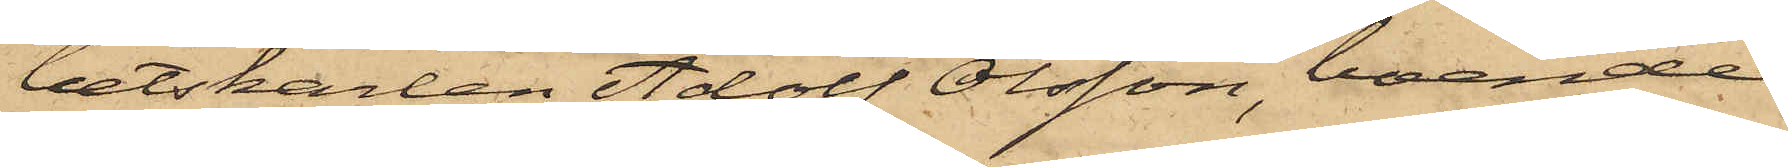betskarlen Adolf Olsson, boende
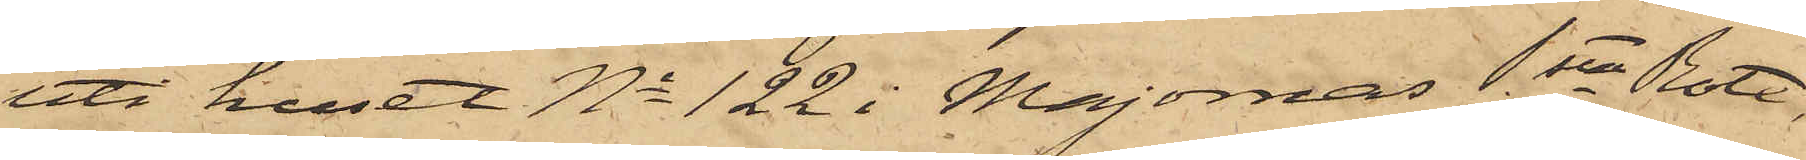uti huset No 122 i Majornas 1sta Rote,
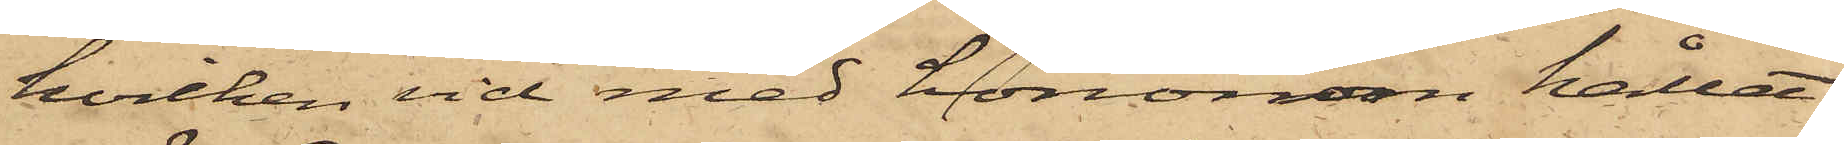hvilken vid med hononom kallat
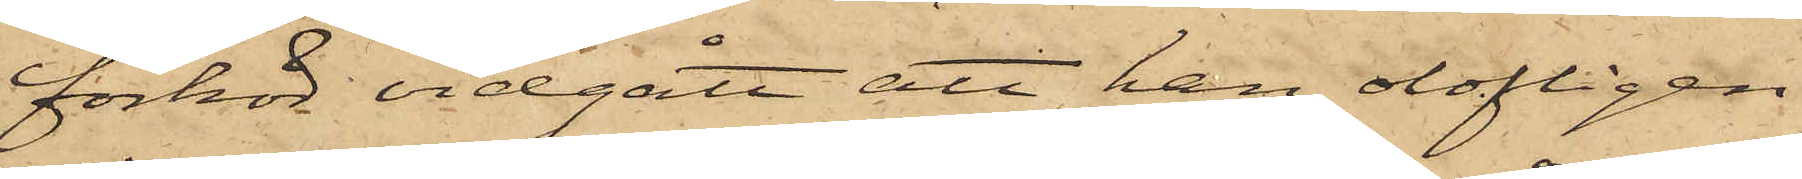förhör vidgått att han olofligen
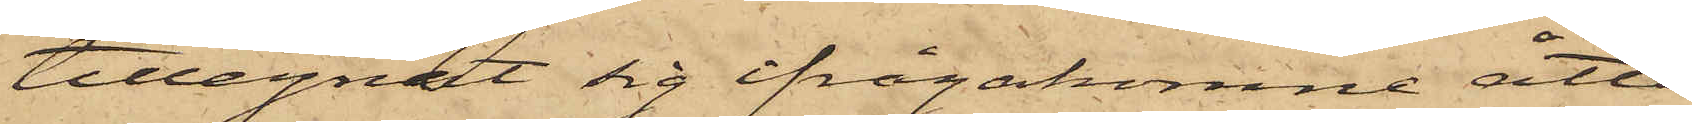tillegnat sig ifrågakomne åtta
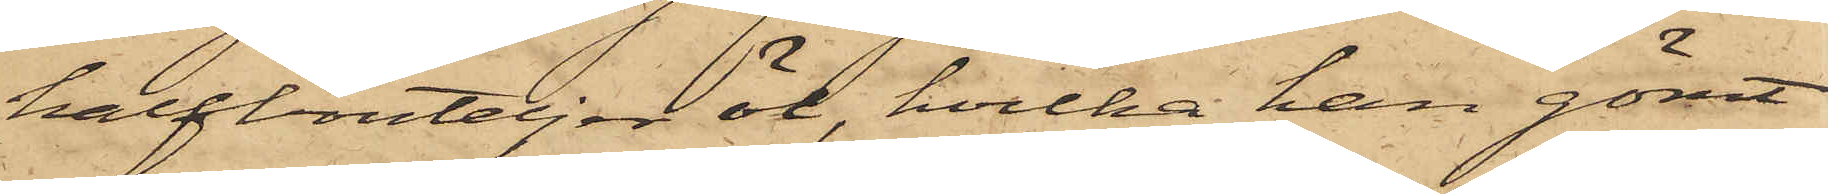halfbouteljer öl, hvilka han gömt
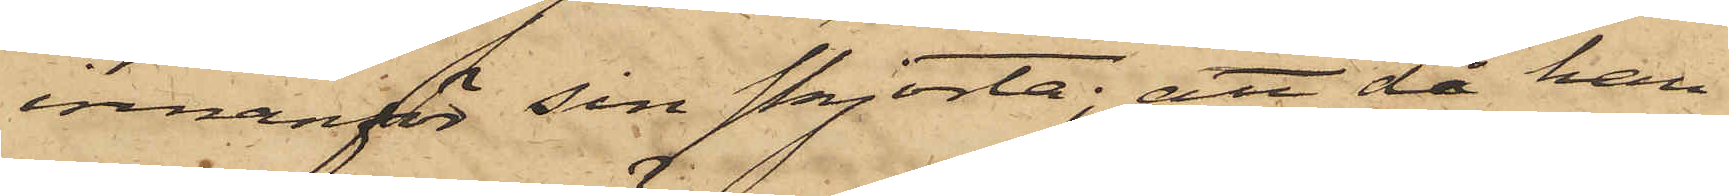innanför sin skjorta; att då han
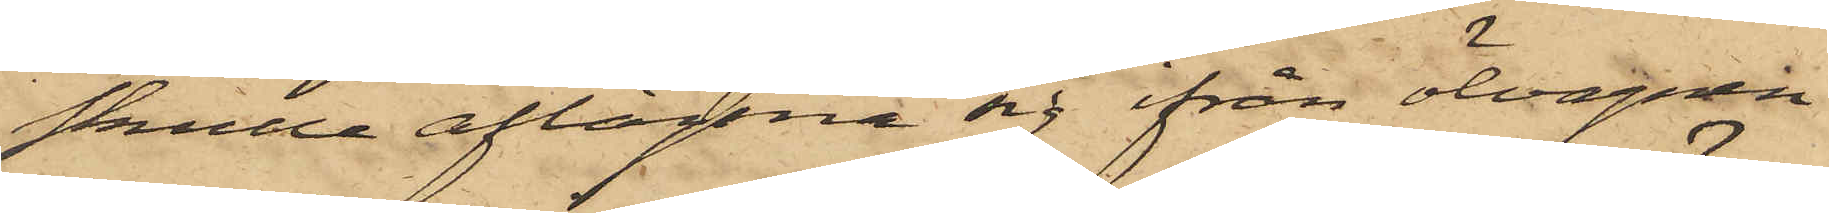skulle aflägsna sig ifrån ölvagnen
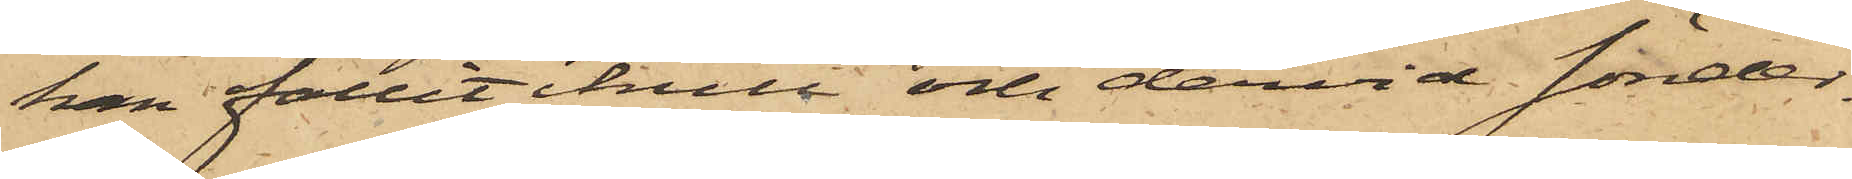han fallit ikull och dervid sönder¬
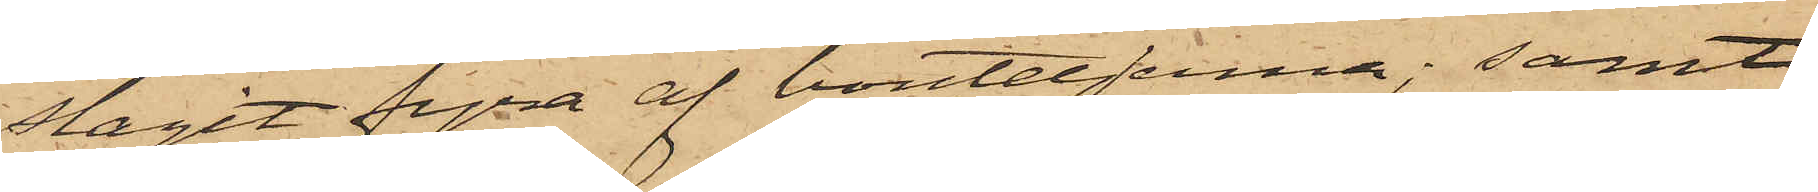slagit fyra af bouteljerna; samt
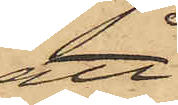att
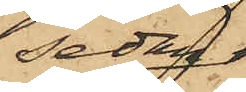sedan
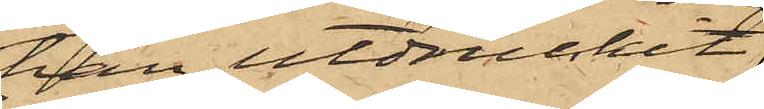han utdruckit
